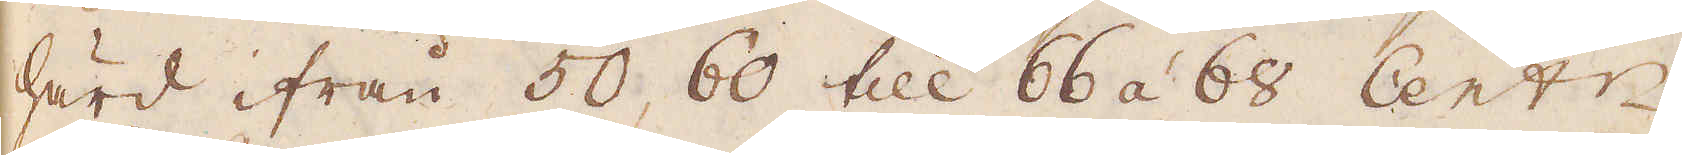härd ifrån 50, 60 till 66 á 68 Cent:r.
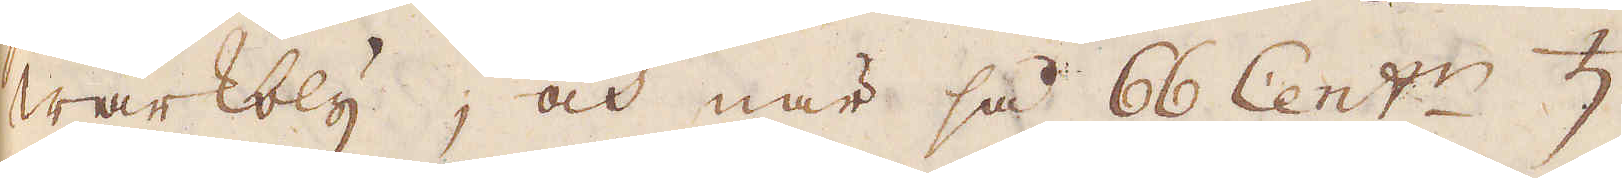wärkbly, och när så 66 Cent:r ♄
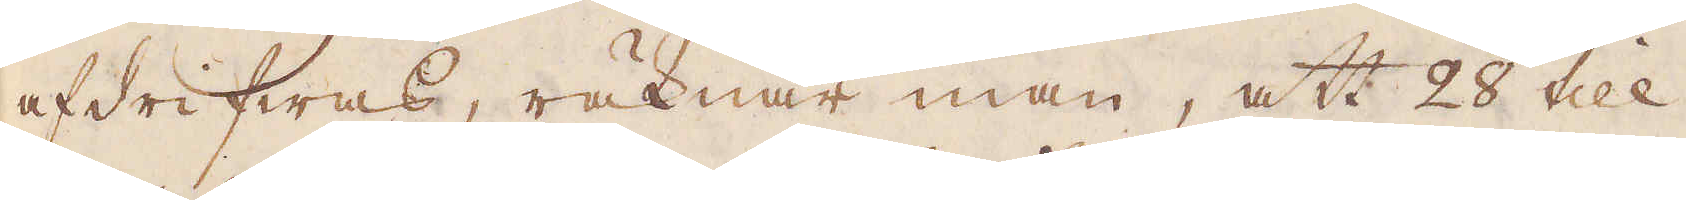afdrifwas, räknar man, att 28 till
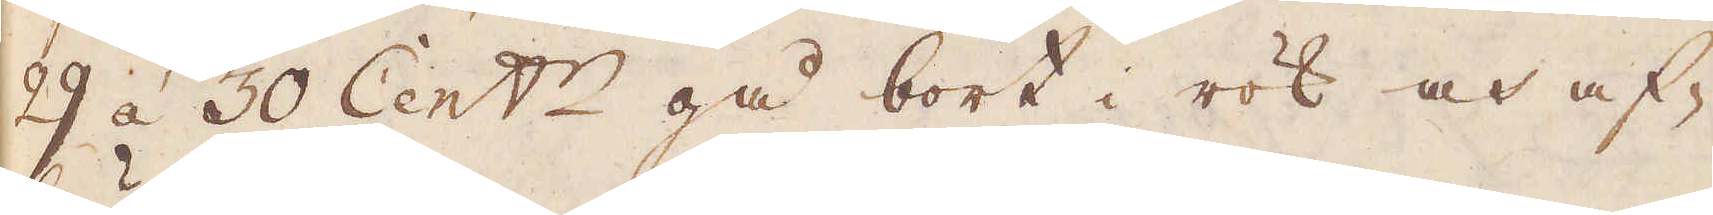29 á 30 Cent:r gå bort i rök och af-
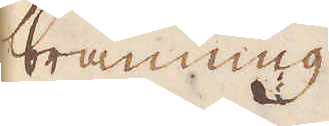bränning.
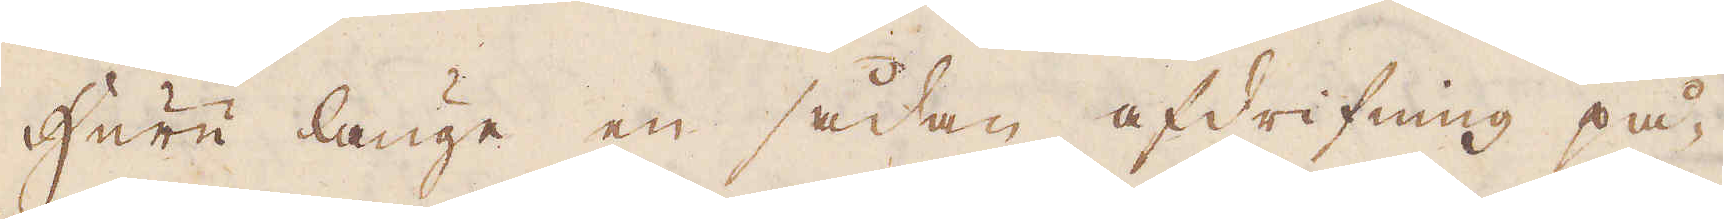Huru länge en sådan afdrifning på-
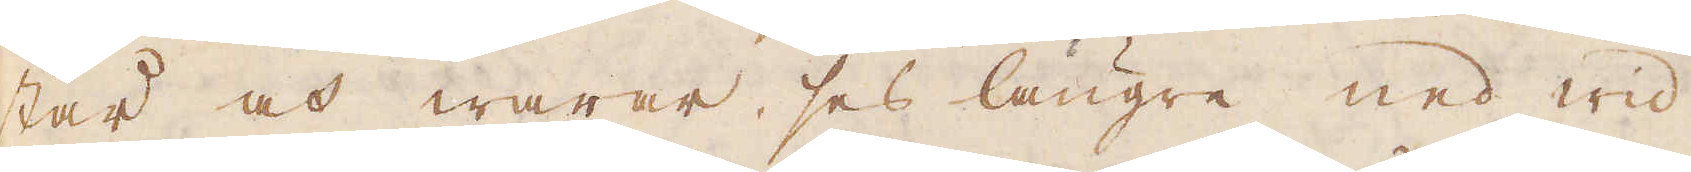står och warar, ses längre ned wid
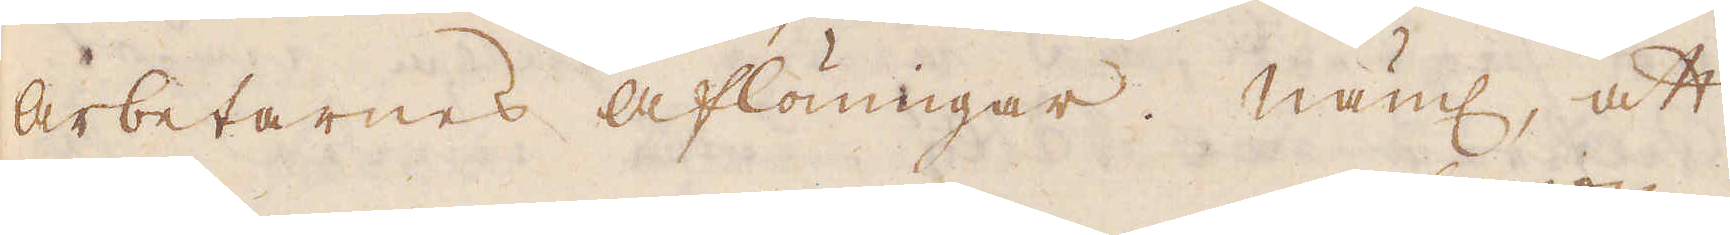arbetarnes aflöningar. Näml, att
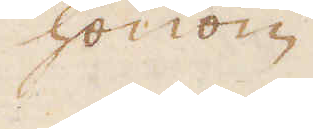honom
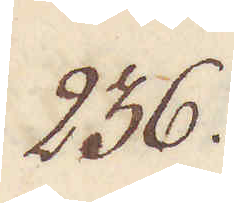236.
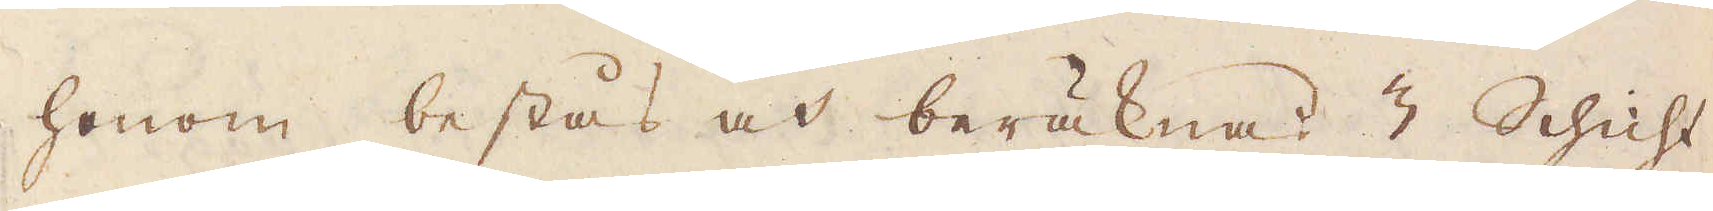honom bestås och beräknas 3 Schicht
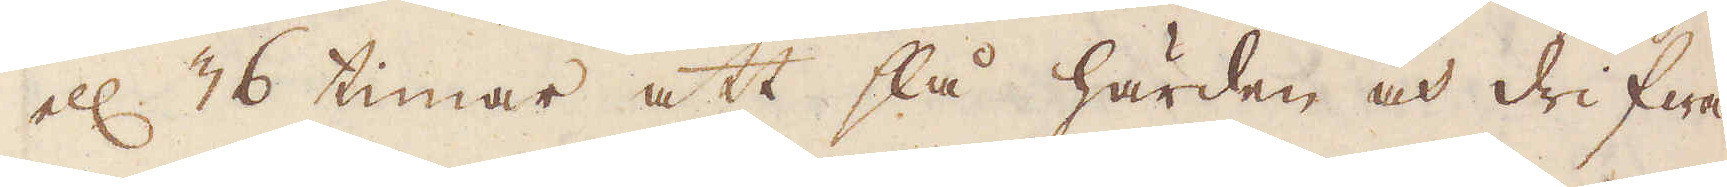ell 36 timar att slå härden och drifwa
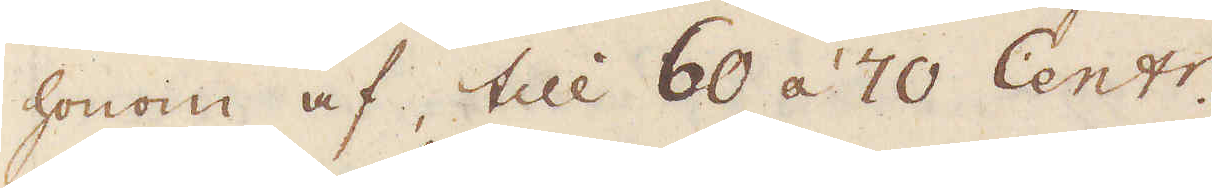honom af, till 60 á 70 Centr.
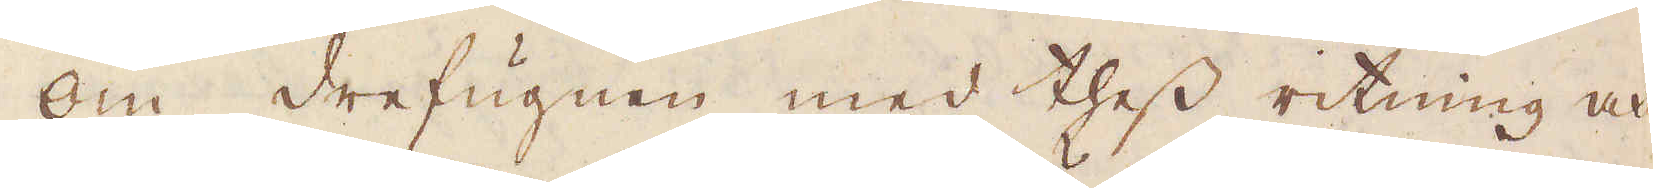Om drefugnen med thess ritning och
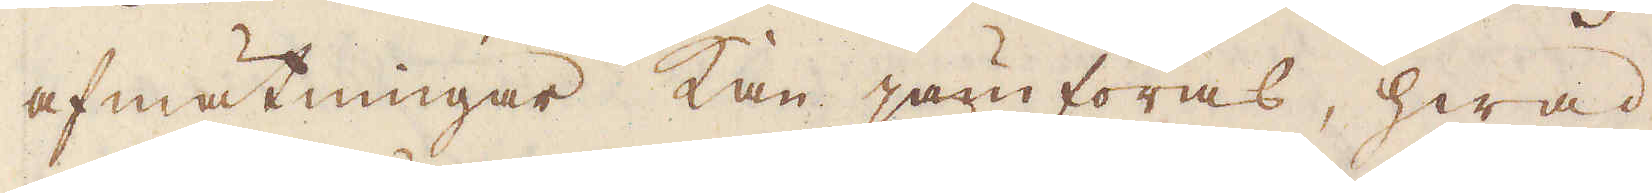afmätningar, kan jämföras, hwad
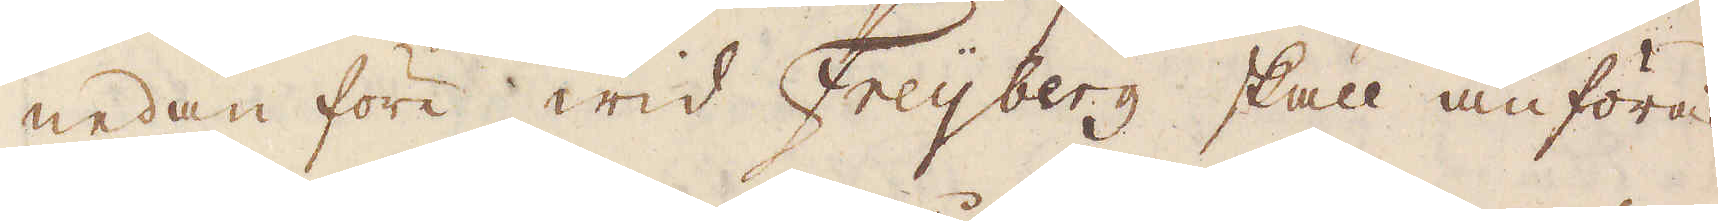nedanföre wid Freyberg skall anföras
